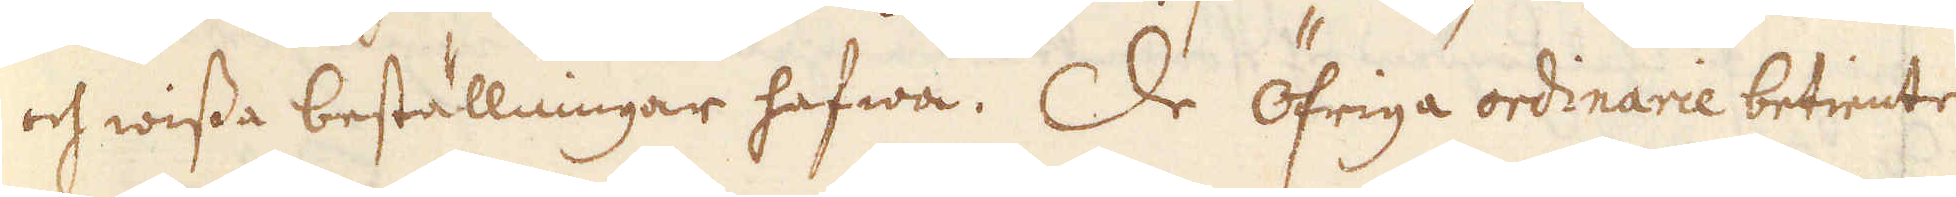och wissa beställningar hafwa. De öfriga ordinarie betiente
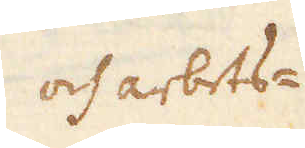och arbets-
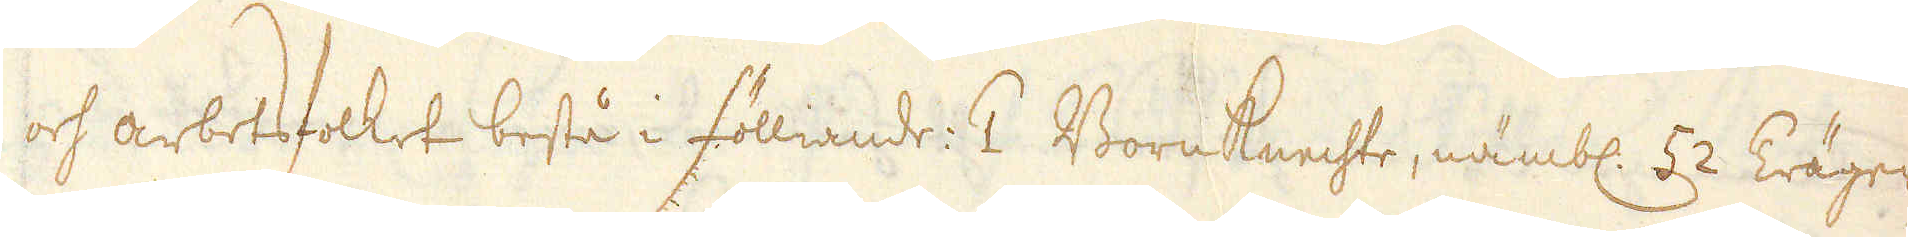och arbetsfolket bestå i fölliande. 2 BornKnechte, nämbl: 52 Träger
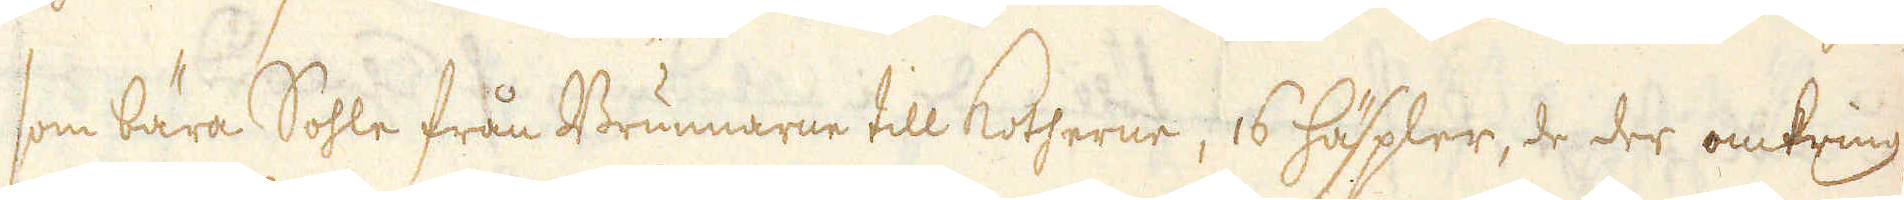som bära Sohle från Brunnarne till Kotherne, 16 häspler, de der omkring
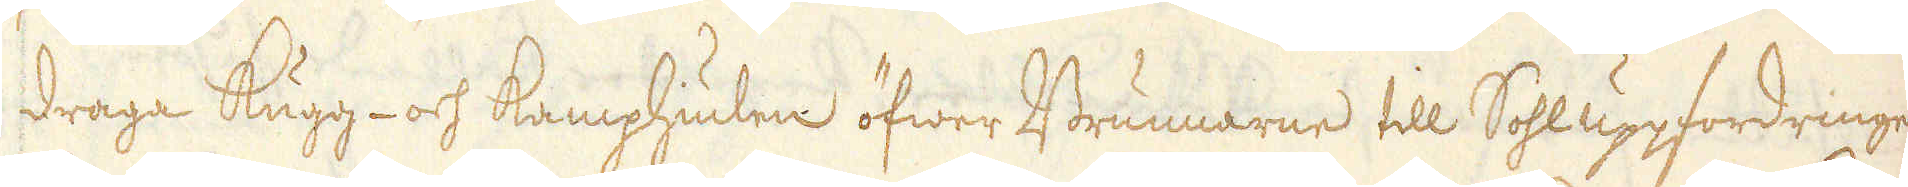draga Kugg- och Kamphiulen öfwer Brunnarne till Sohluppfordringen
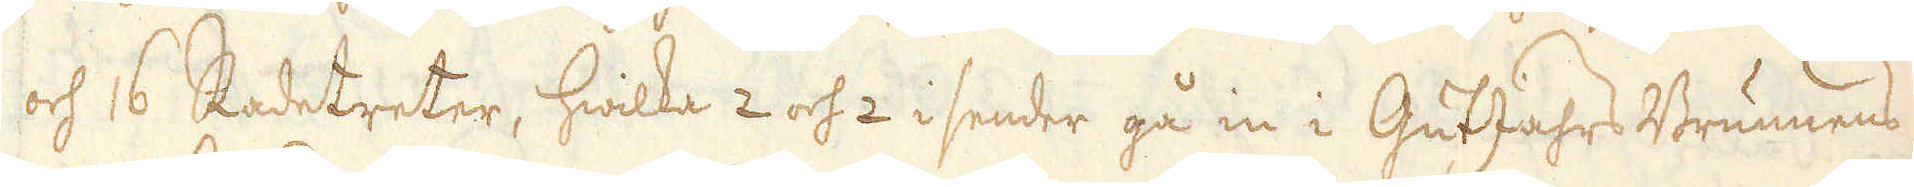och 16 Radetreter, hwilka 2 och 2 i sender gå in i GutJahrs Brunnens
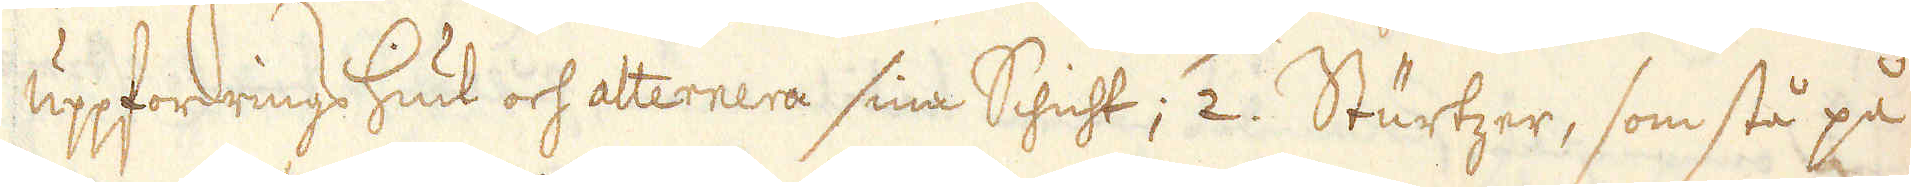uppfordrings Hiul och alternera sina Schicht; 2. Sturtzer, som stå på
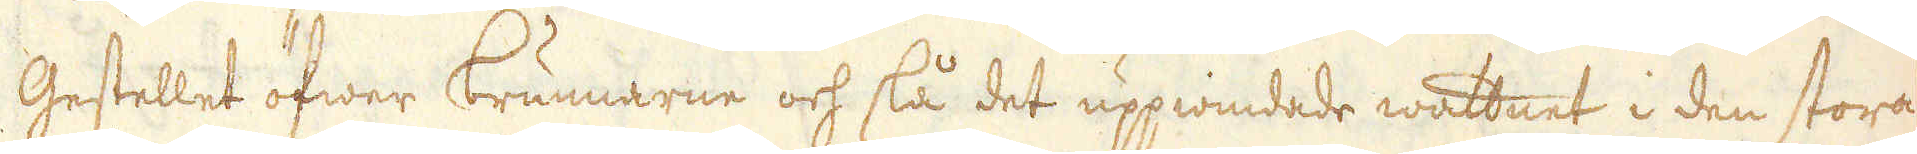Gestellet öfwer brunnarne och slå det uppwindade wattnet i den stora
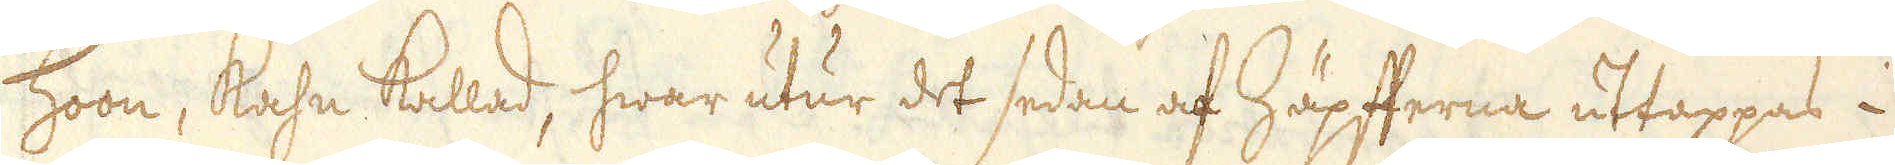Hoon, Kahn kallad, hwar utur det sedan af Häpfterna uttappas i
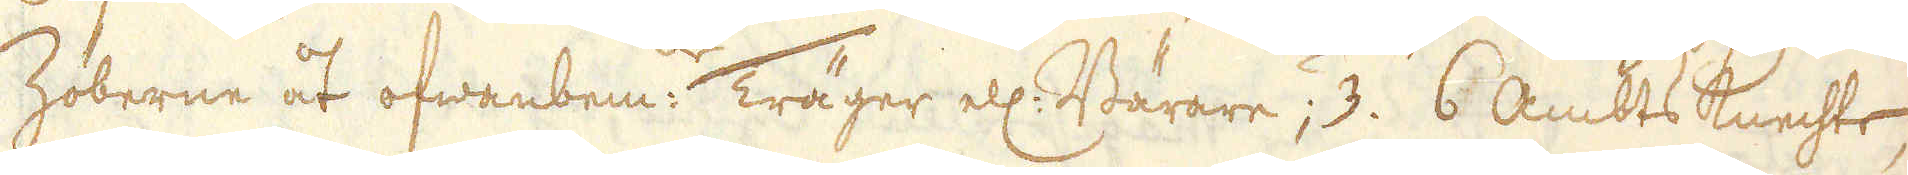Zöberne åt ofwanbem: Träger ell: Bärare; 3. 6 Ambts Knechte,
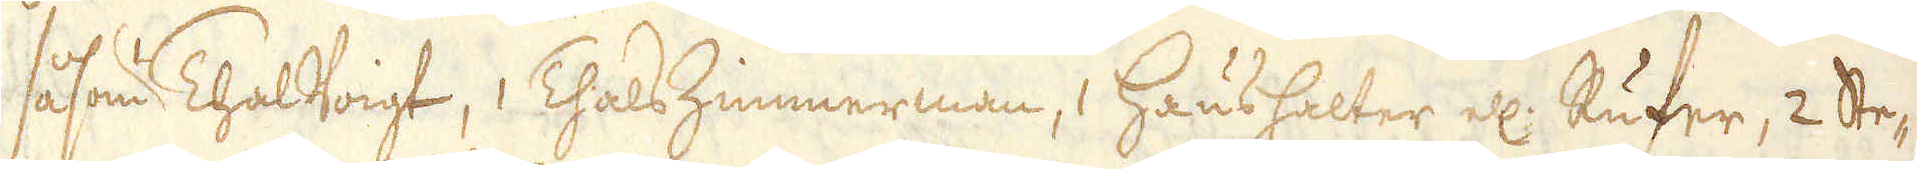såsom ThalVoigt, ThalsZimmerman, 1 Haushalter ell: Rufer, 2 Ste-
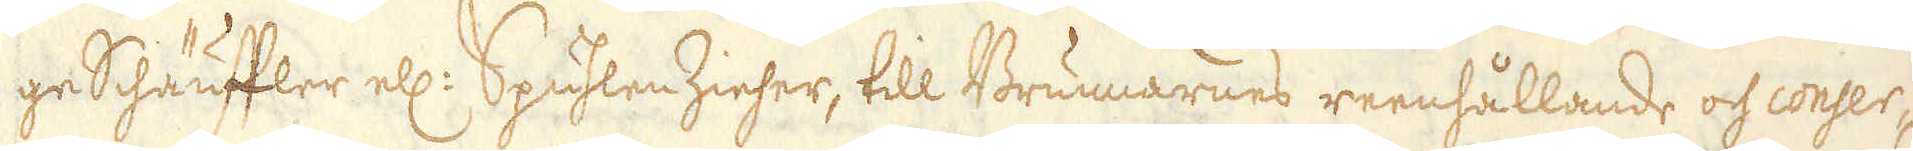ge Schäuffler ell: Spuhlen Zieher, till Brunnarnes reenhållande och conser-
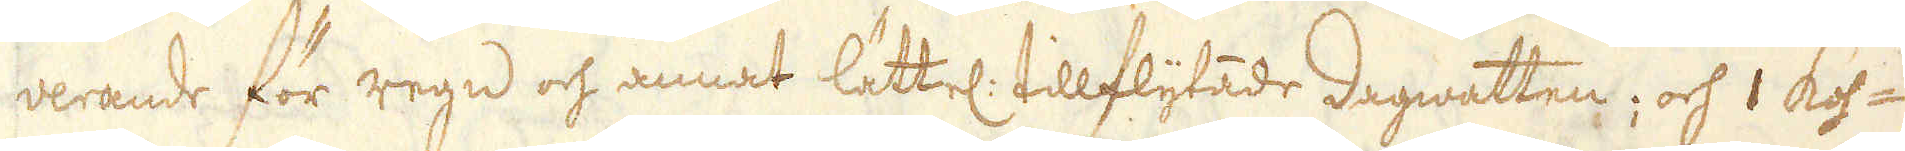verande för regn och annat lättel: tillflytade dagwatten; och 1 Koh-
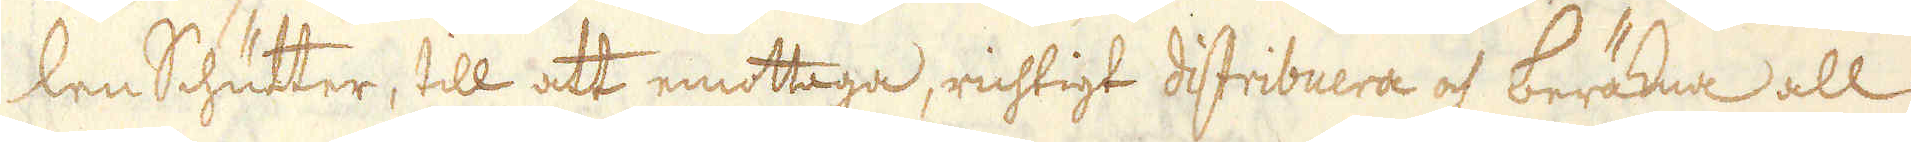len Schutter, till att emottaga, richtigt distribuera och beräkna all
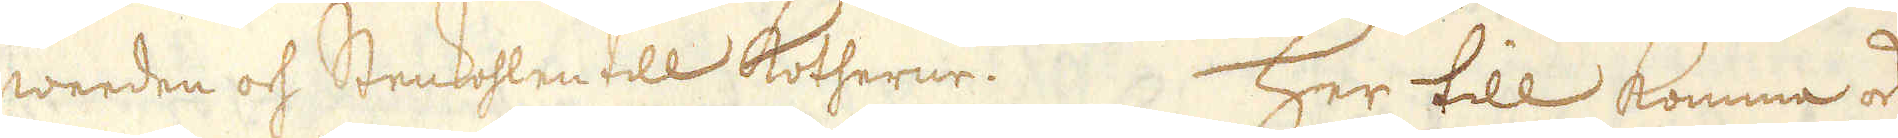weeden och Stenkohlen till Kotherne. Her till komma ock
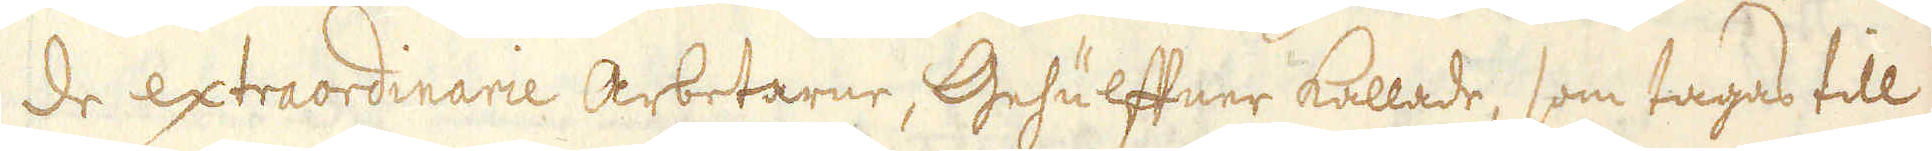de extraordinarie Arbetarne, Gehulffner kallade, som tagas till
